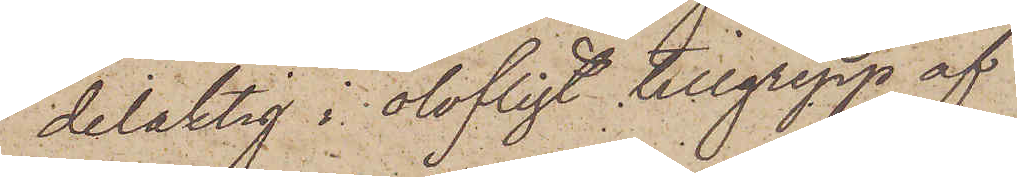delaktig i olofligt tillgrepp af
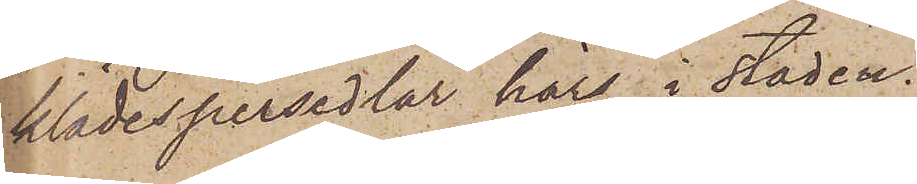klädespersedlar här i staden
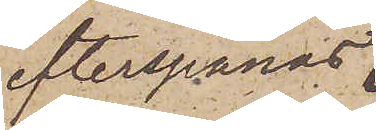efterspanas,
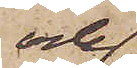och
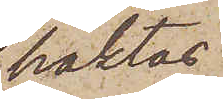häktas.
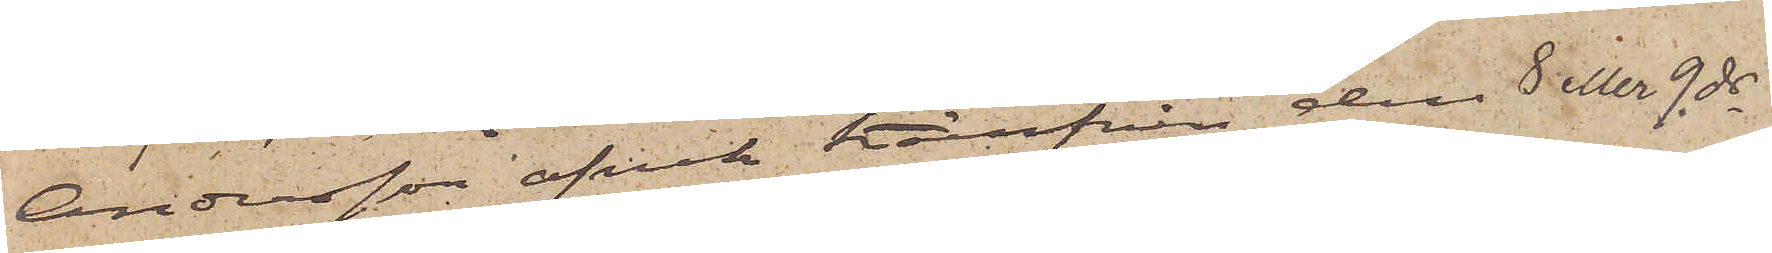Andersson afvek härifrån den 8 eller 9 ds
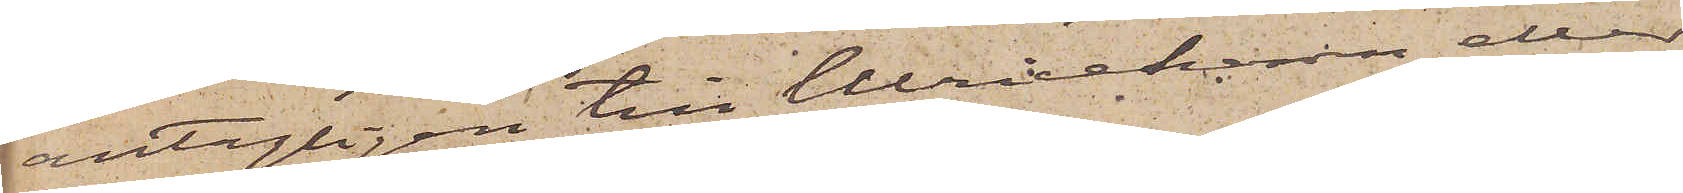antagligen till Ulricehamn eller
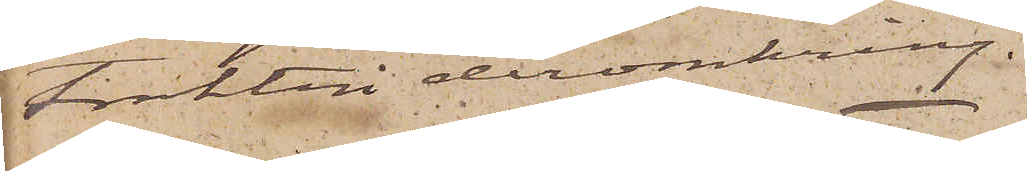trakten deromkring.
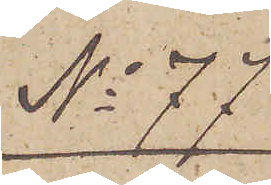No 77
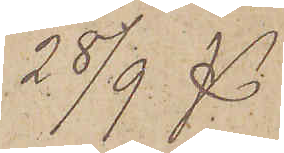28/9 
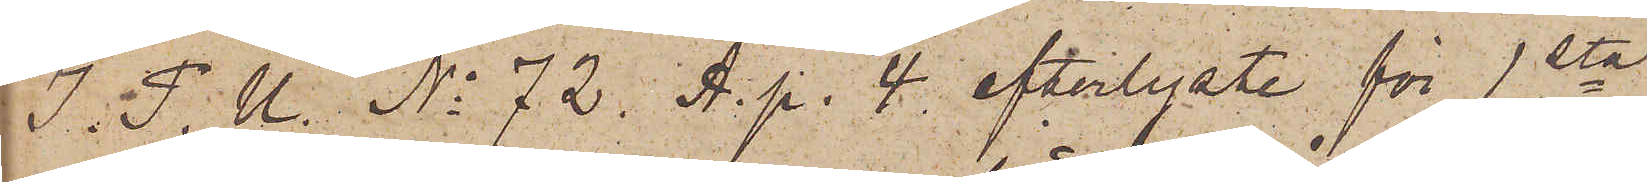I. P. U. No 72. A. p. 4 efterlyste för 1sta
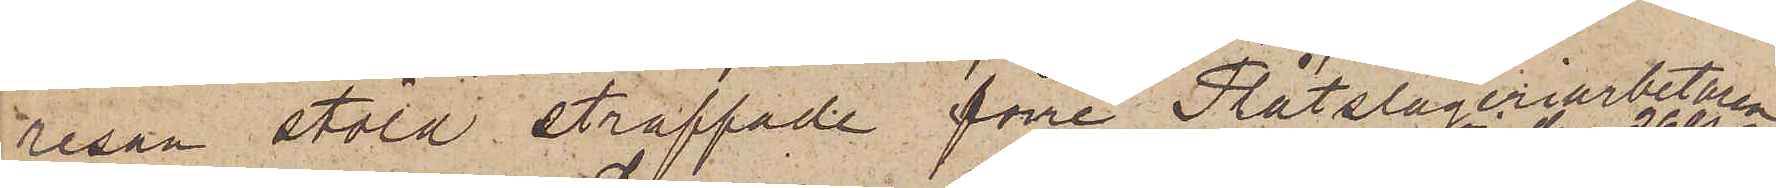resan stöld straffade förre Plåtslageriarbetaren
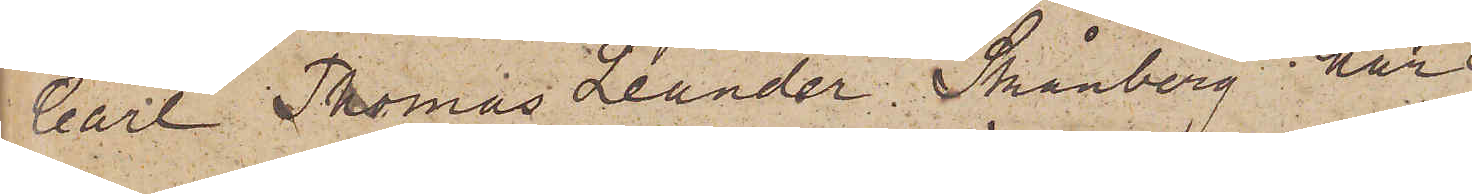Carl Thomas Leander Skånberg har
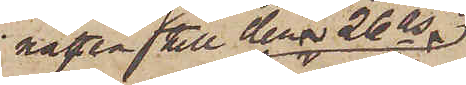natten till den 26 ds
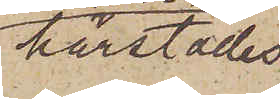härstädes
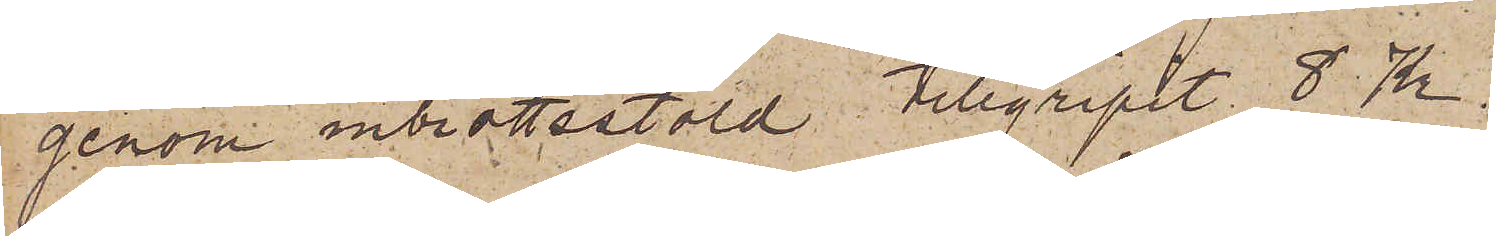genom inbrottsstöld tillgripit 8 Kr.
